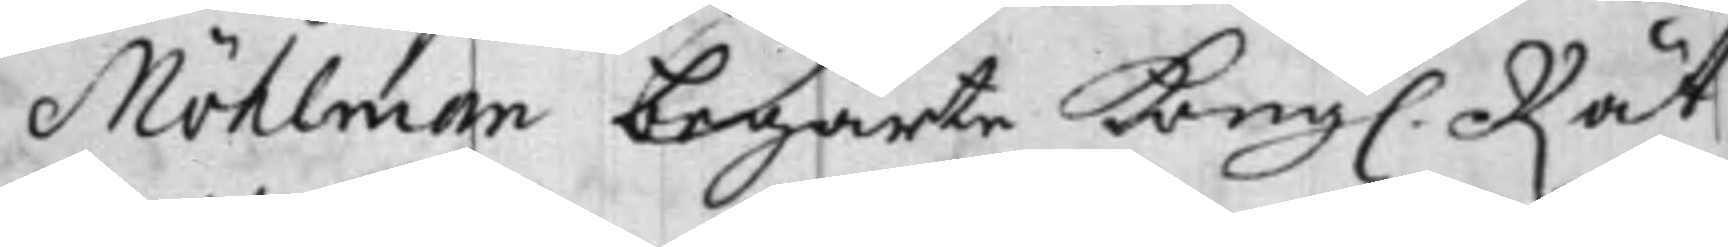Möhlman begärde Kongl. Rät¬
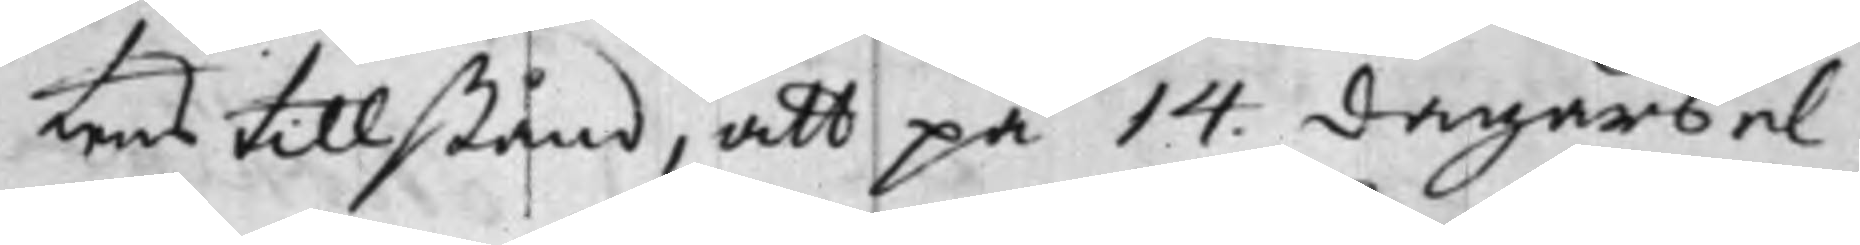tens tillstånd, att på 14 dagars el¬
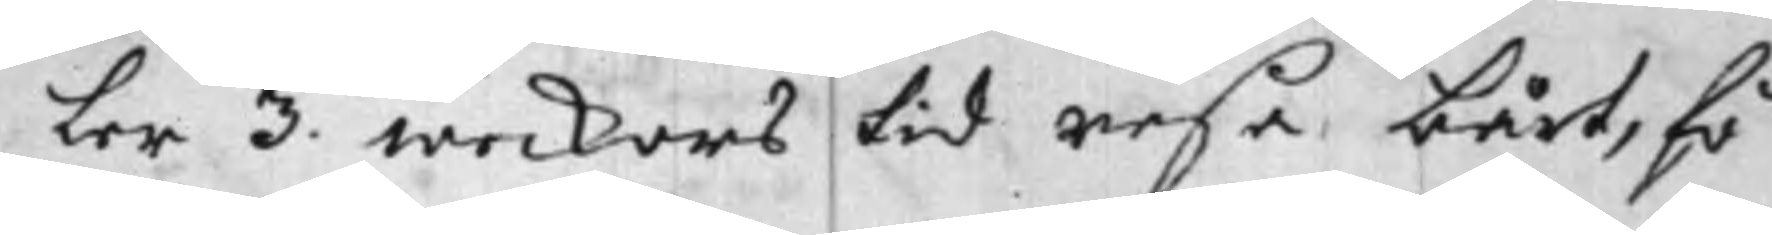ler 3 weckors tid resa bårt, fö¬
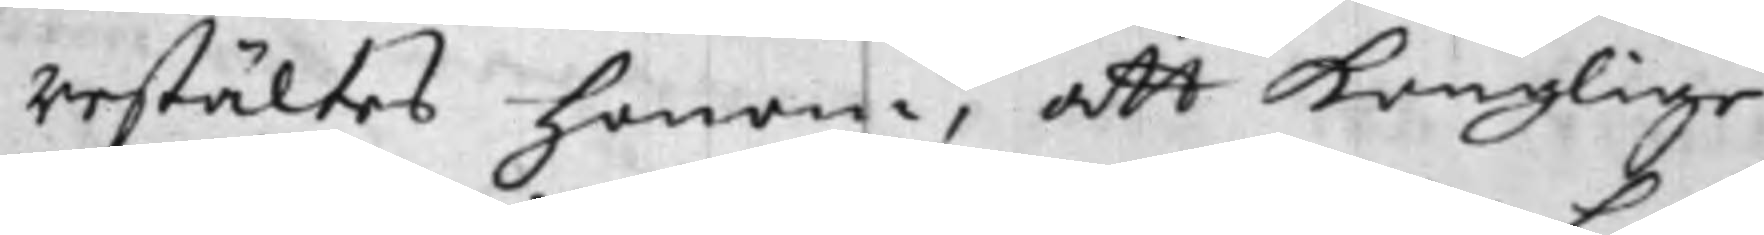restältes honom, att Konglige
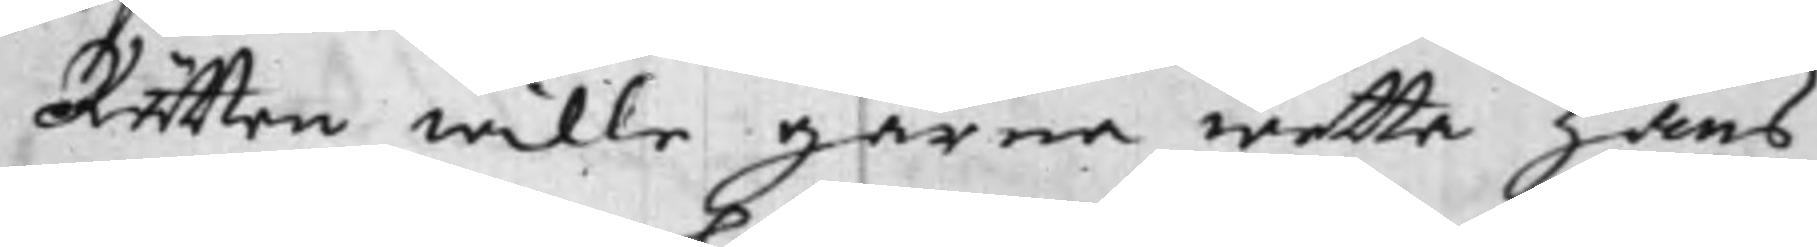Rätten wille gärna wetta hans
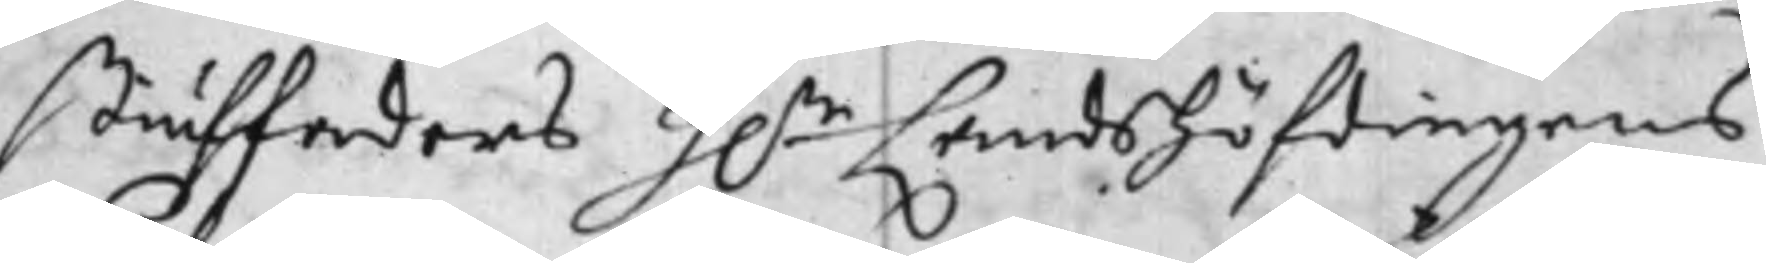stiuffaders Hr Landshöfdingens
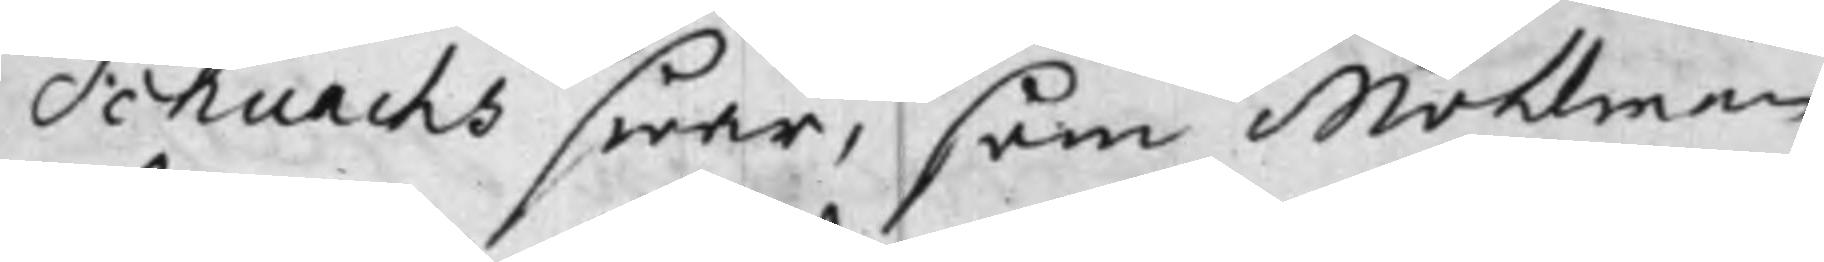Schnachs swar, som Möhlman
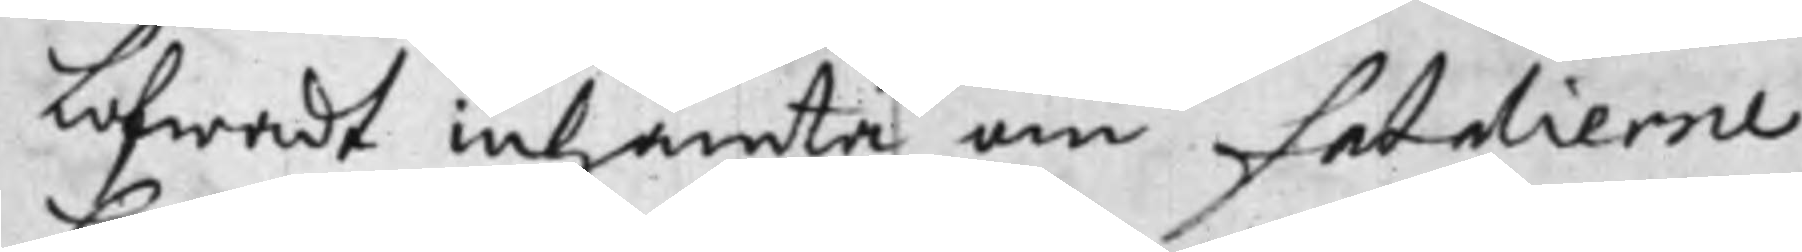lofwadt inhämta om fatalierne,
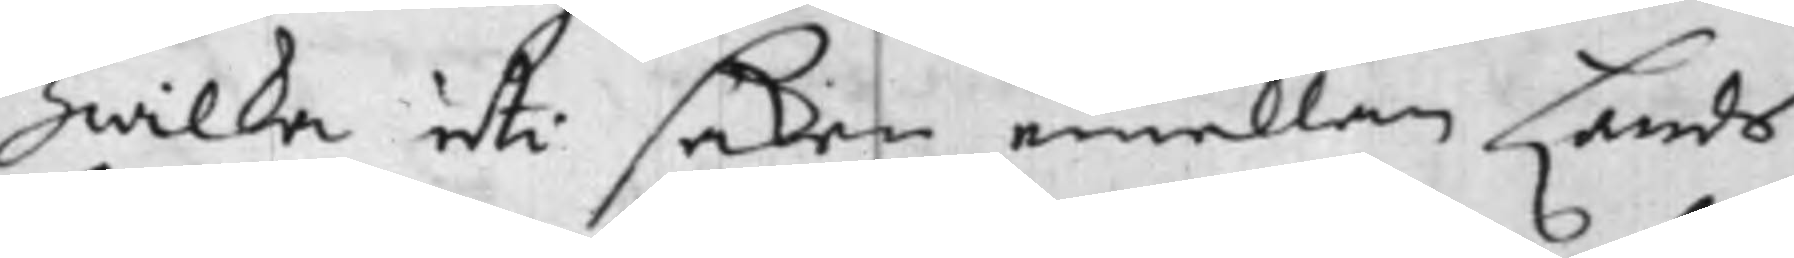hwilka uti saken emellan Lands¬
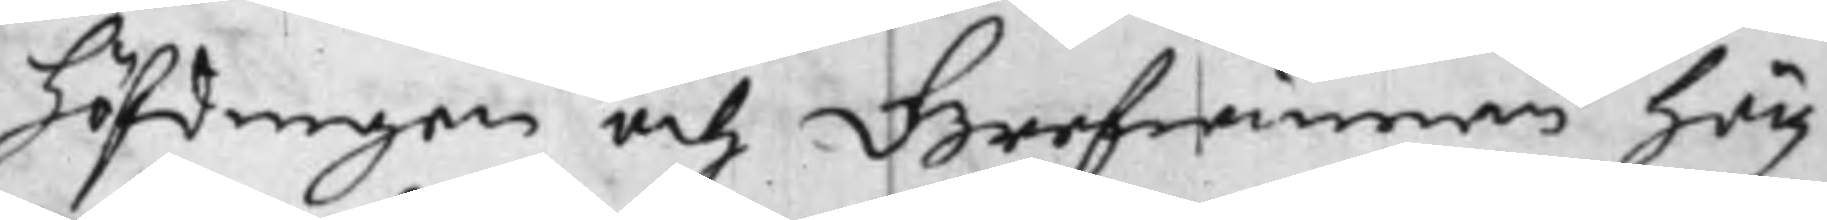höfdingen och Grefwinnan hög¬
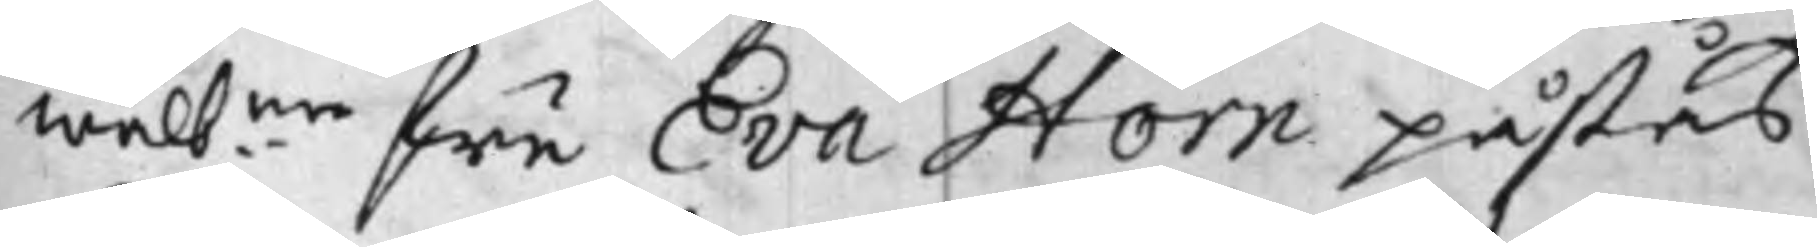wälbne fru Eva Horn påstås
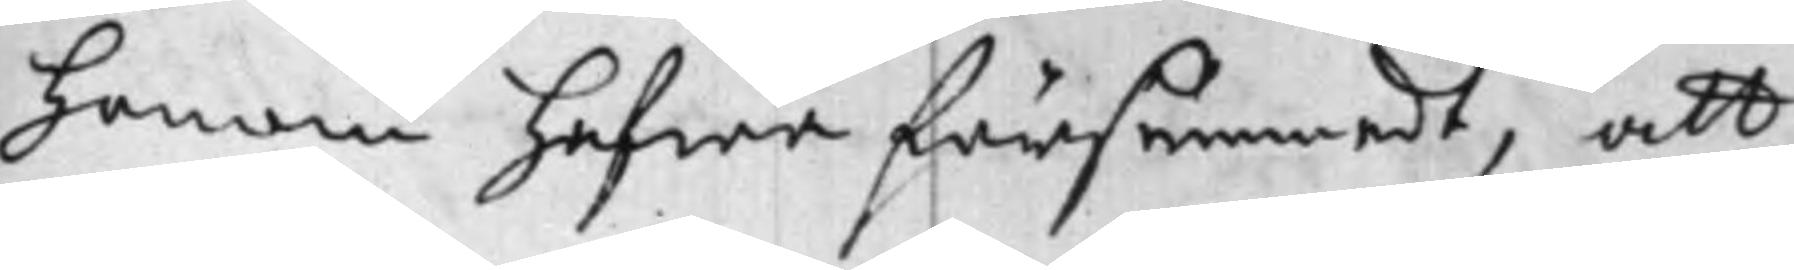honom hafwa försummadt, att
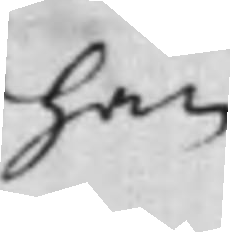han
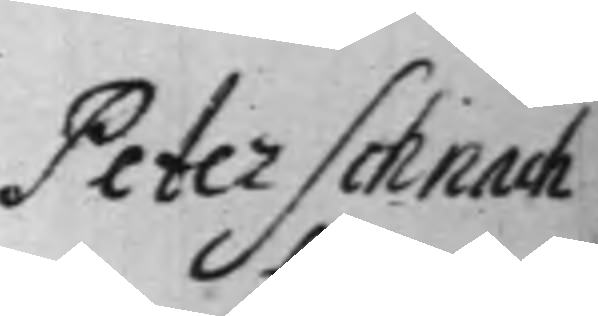Peter Schnach
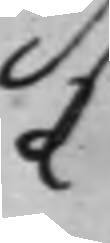C
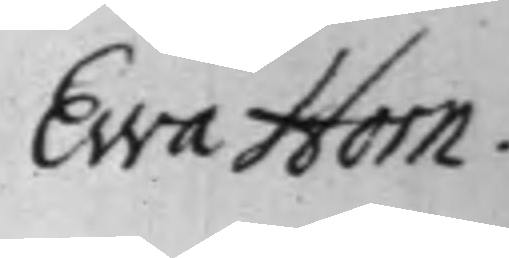Ewa Horn
